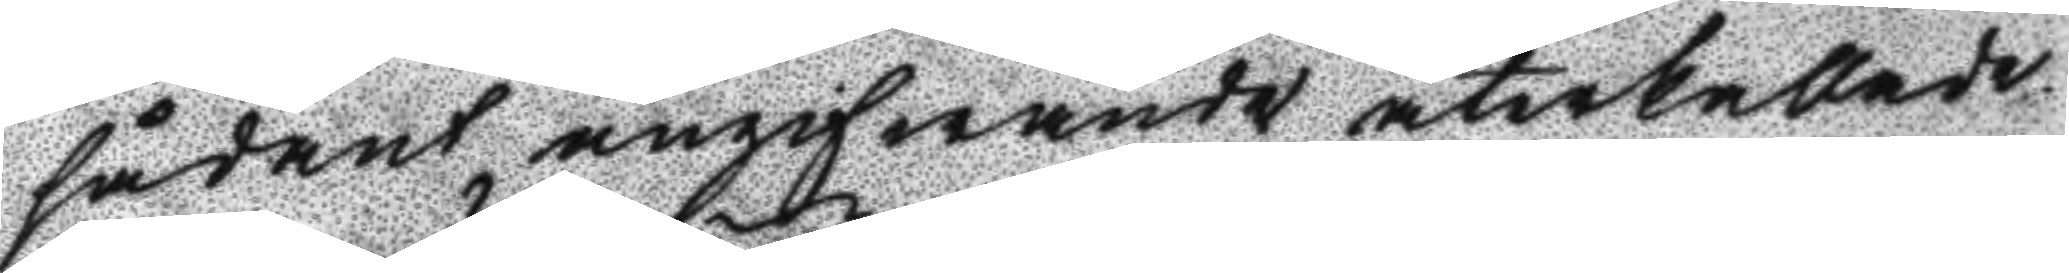sådant angifwnade återkallade.
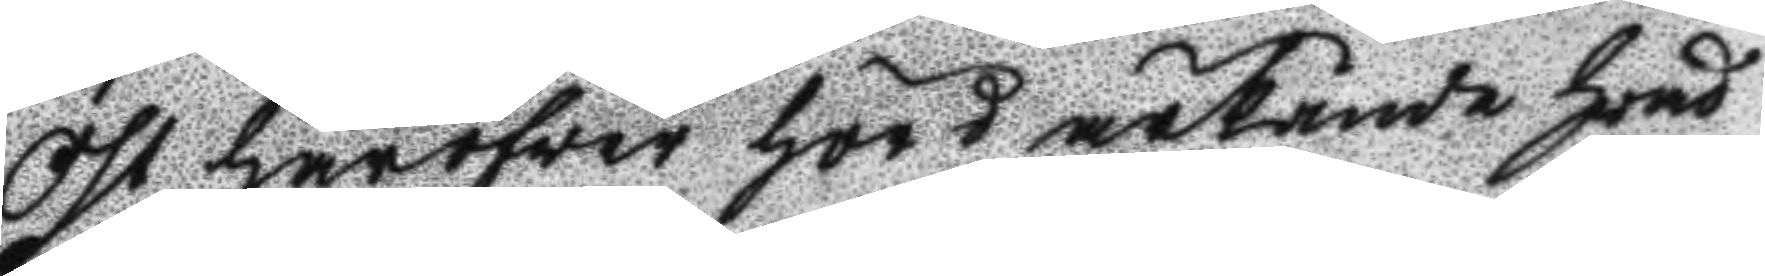Öst häröfver hörd ärkände hvad 
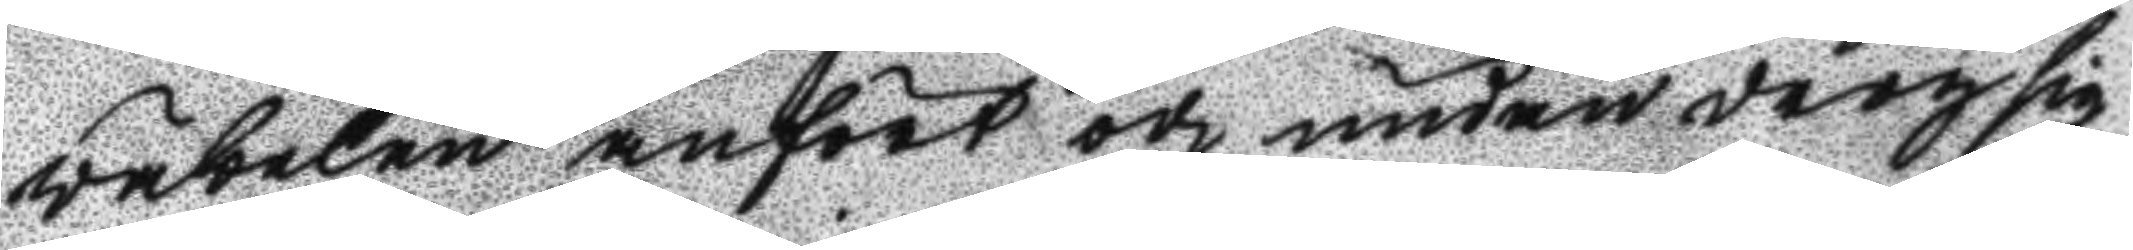väbelen anfört och undandrog sig
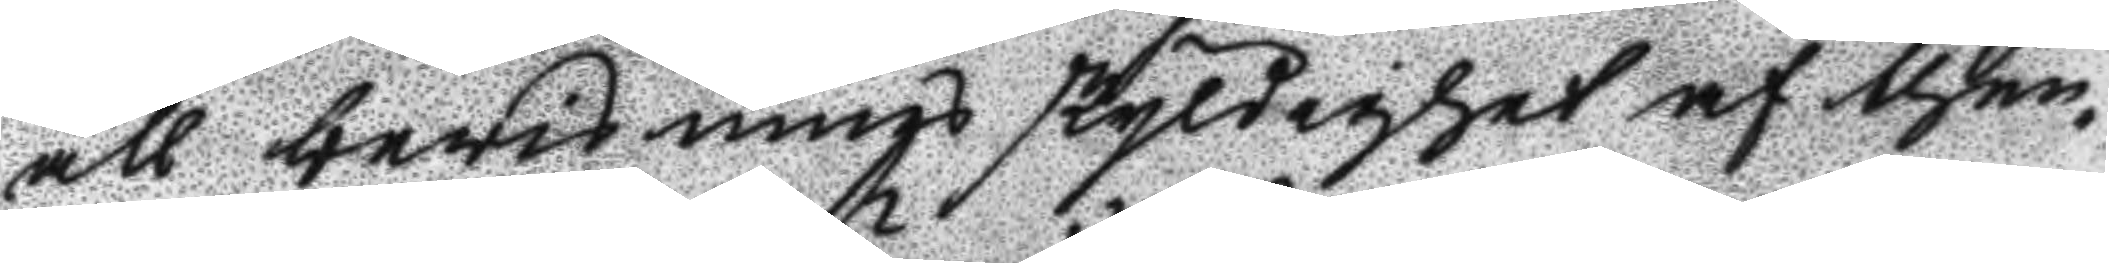all bevisnings skyldighet af then
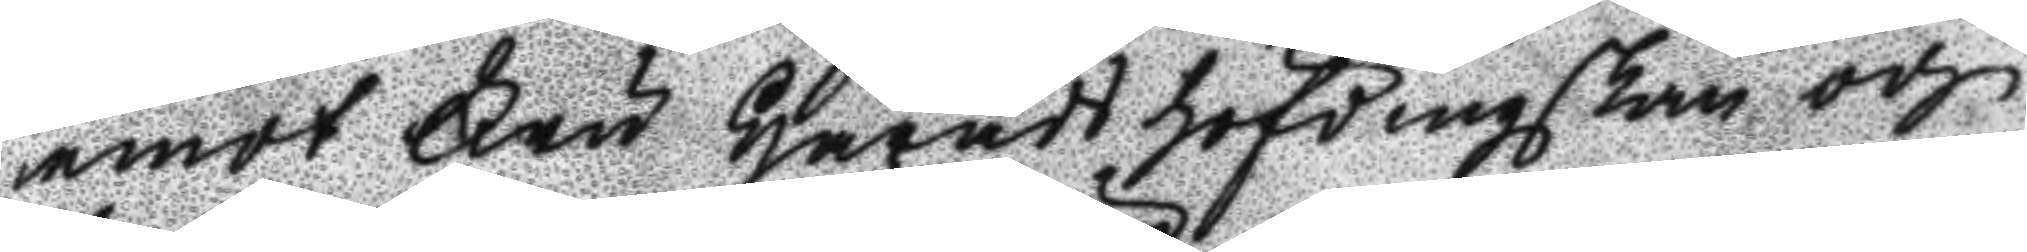emot Fru Häradshöfdingskan och
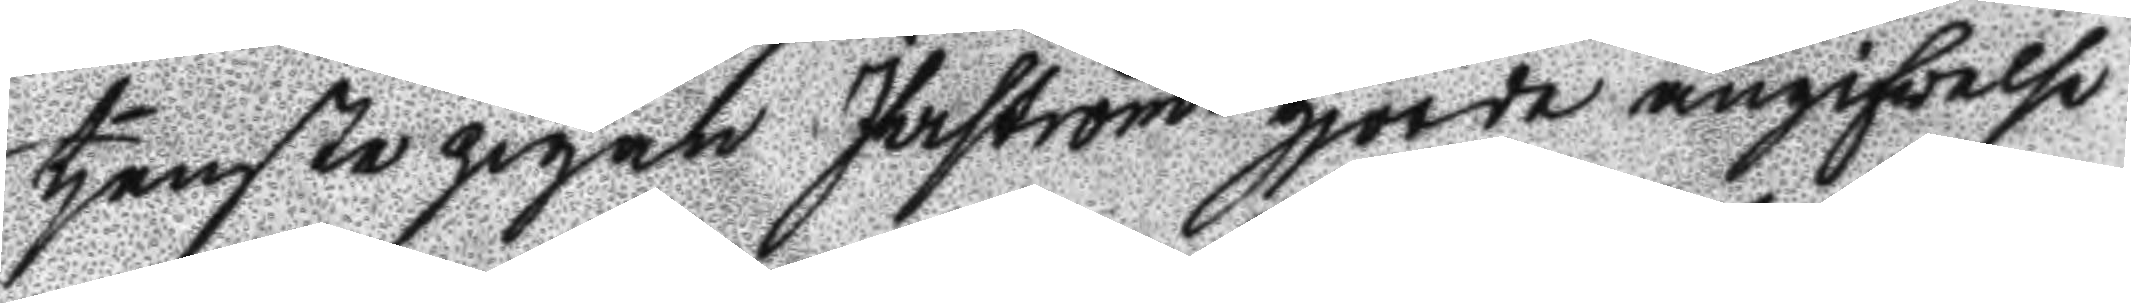tjenste pigan Ihrström gjorde angifvelse
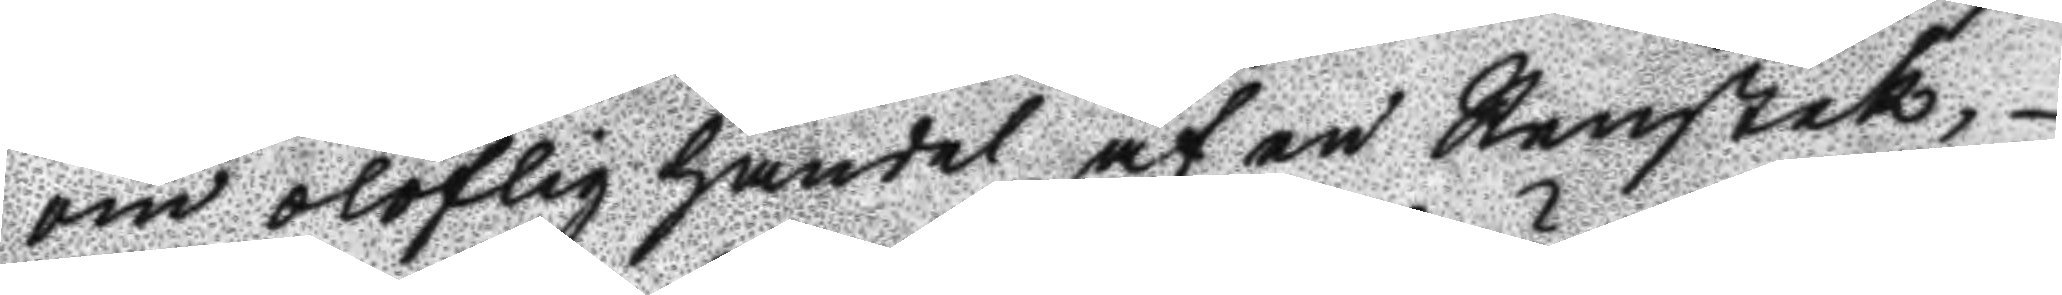om oloflig handel af en Renstek,
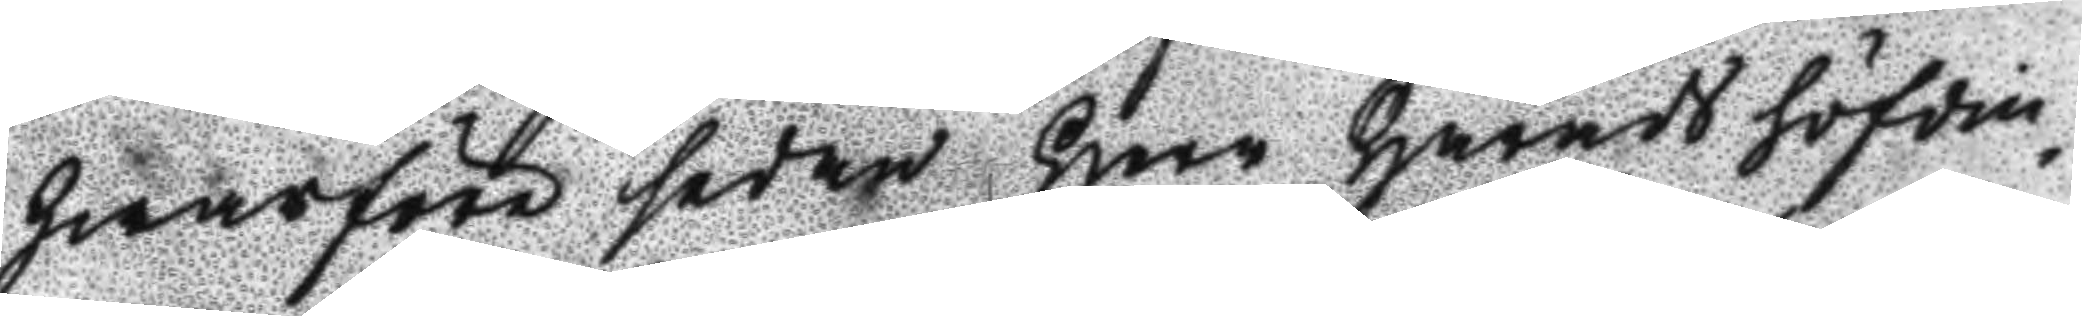hwarföre sedan Herr Häradshöfdin¬
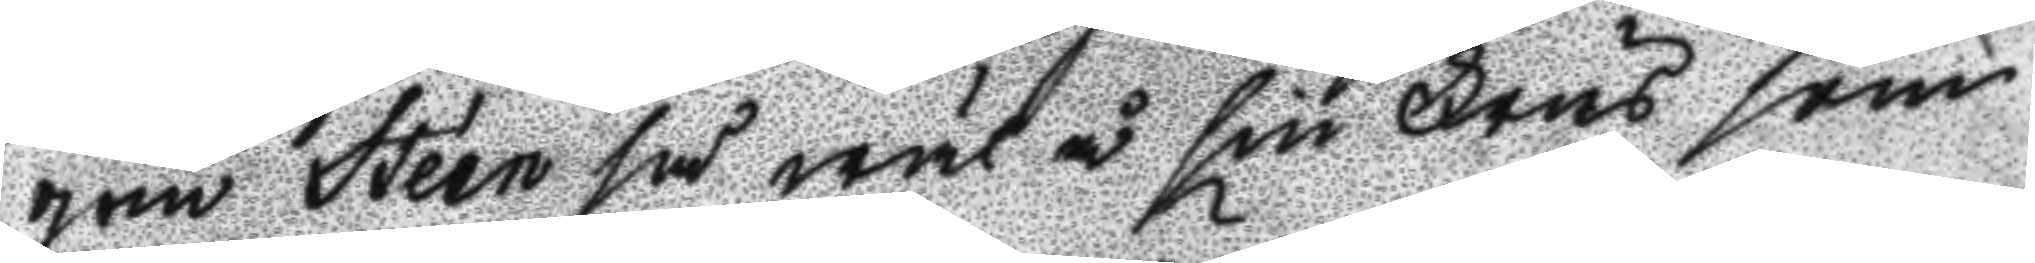gen Stéen så wäl å sin Frus som
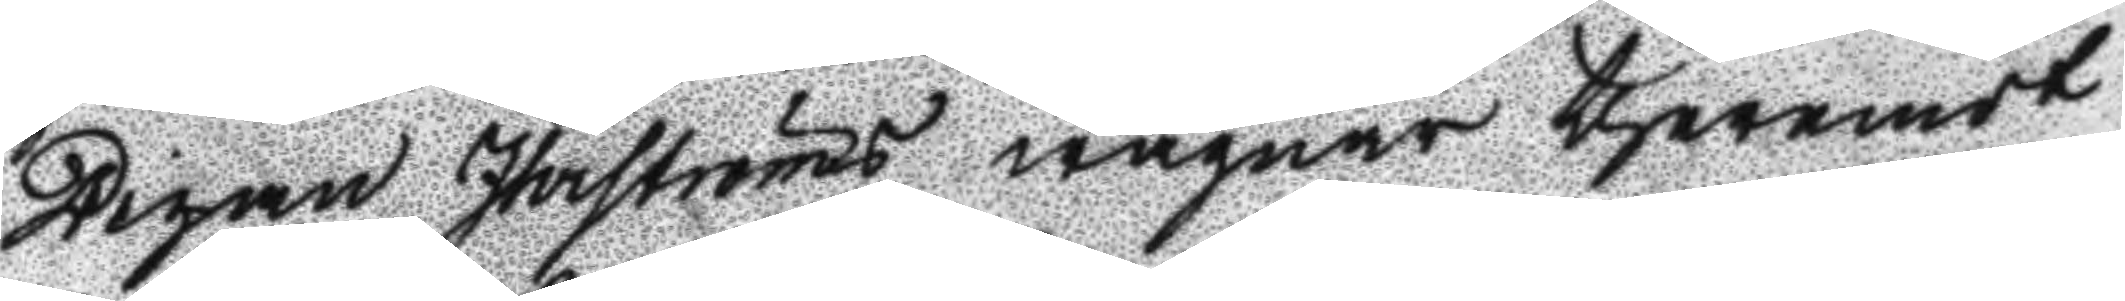Pigan Ihrströms wägnar theremot
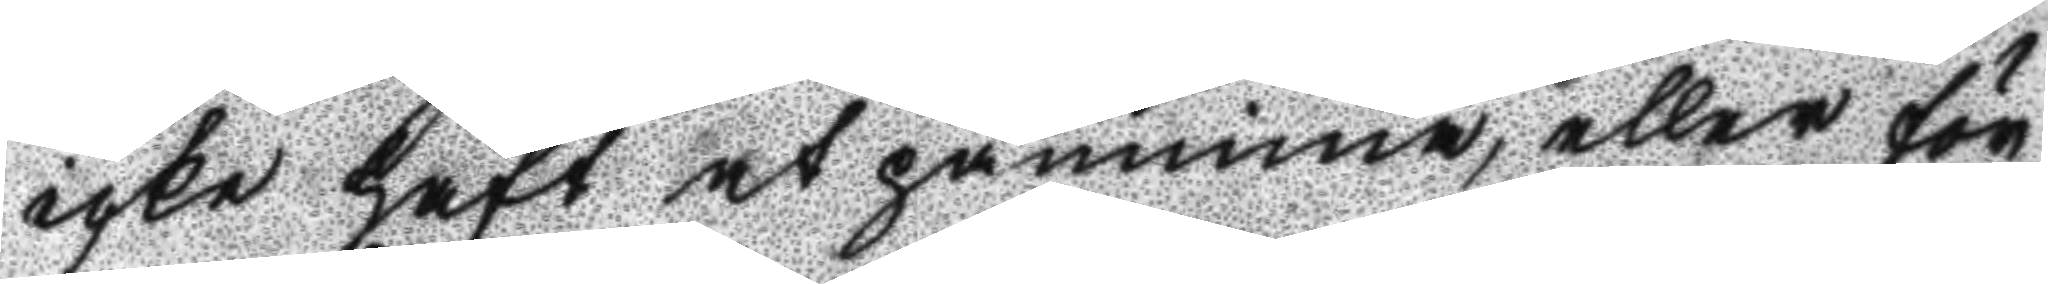icke haft at påminna, eller för
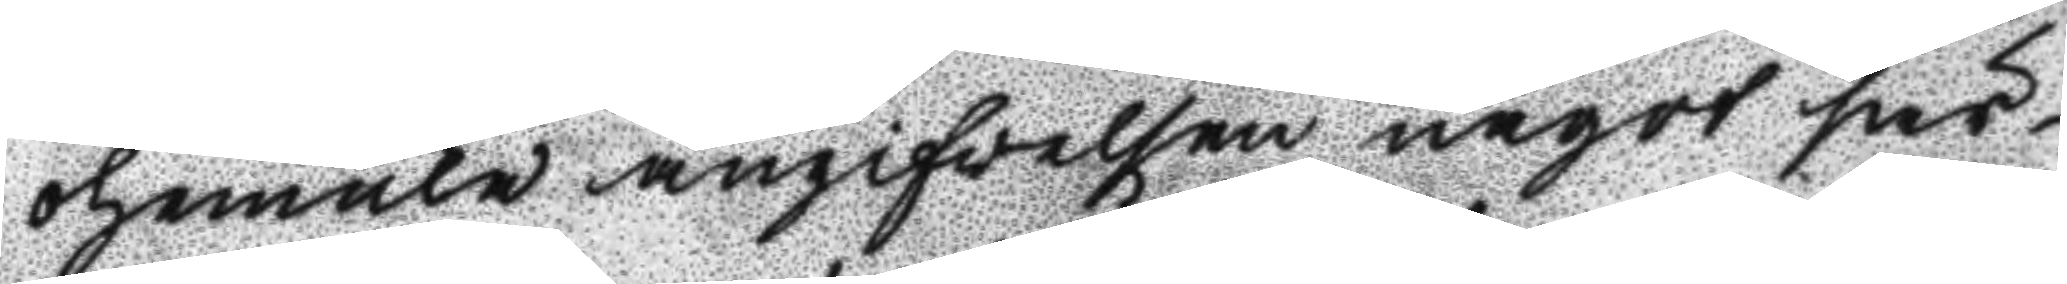ohemula angifvelsen något sär¬
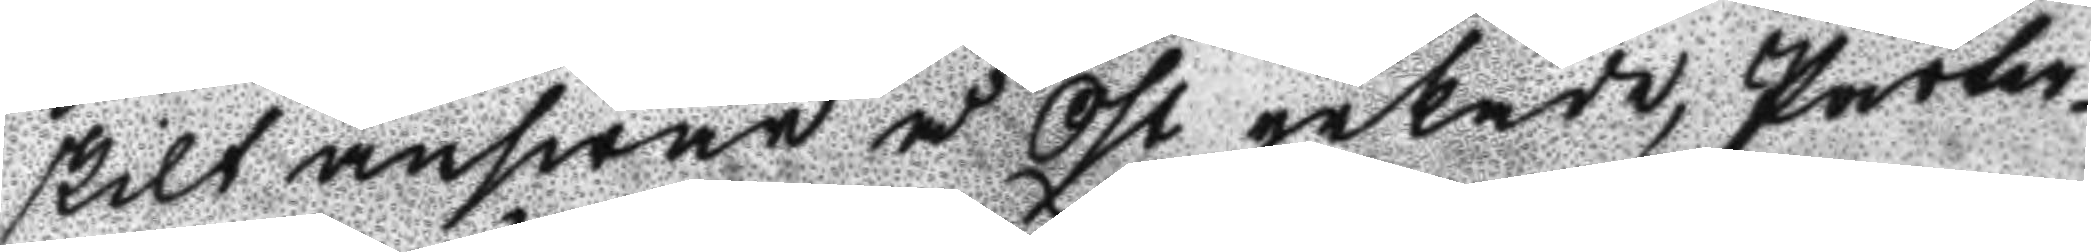skilt answar å Öst yrkade, Parter¬
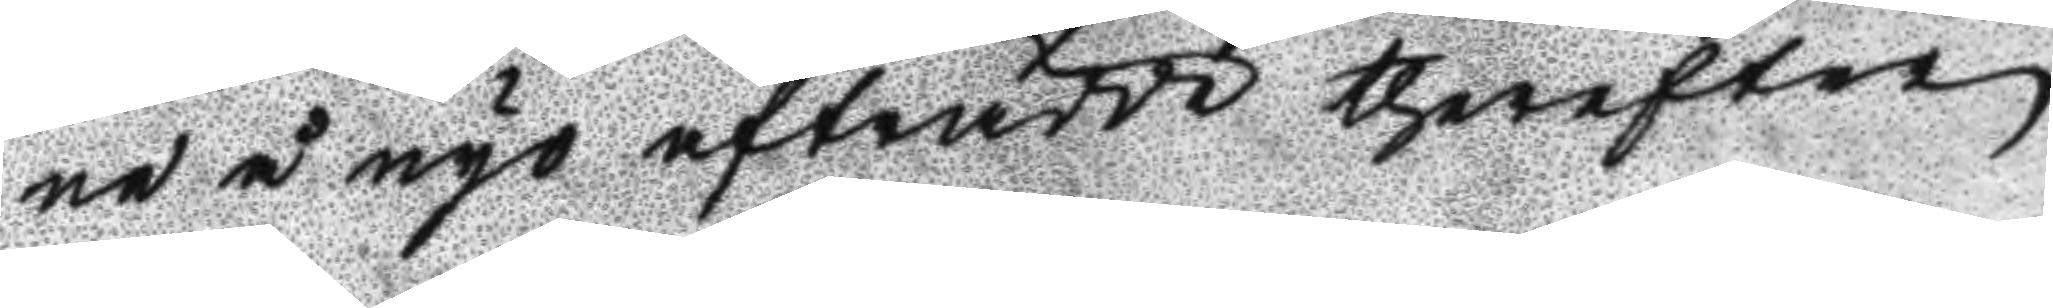ne å nyo atfrådde therefter
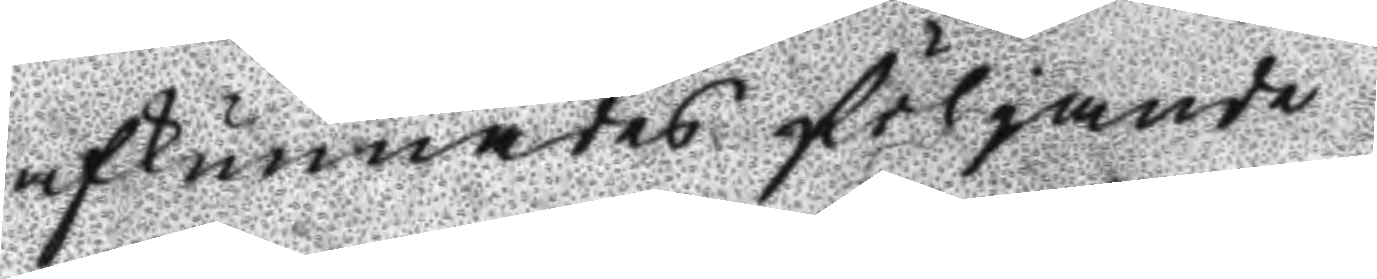afkunnades fölgande
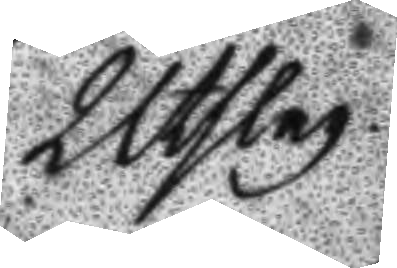Utslag
